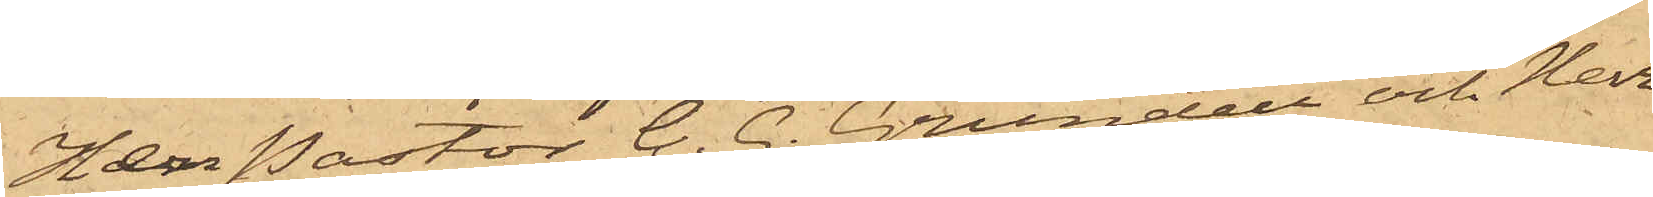Herr Pastor C. G. Grundell och Herr
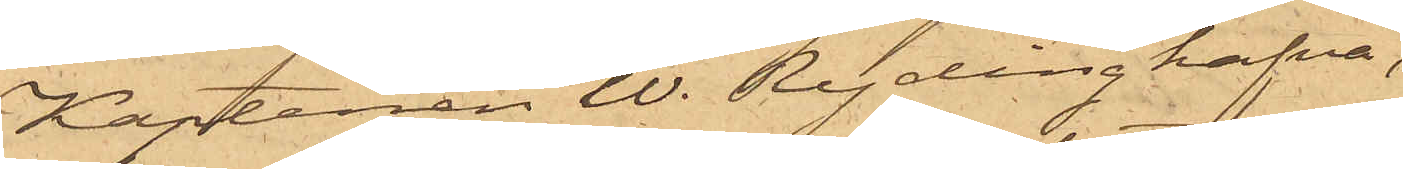Kaptenen W. Ryding hafva,
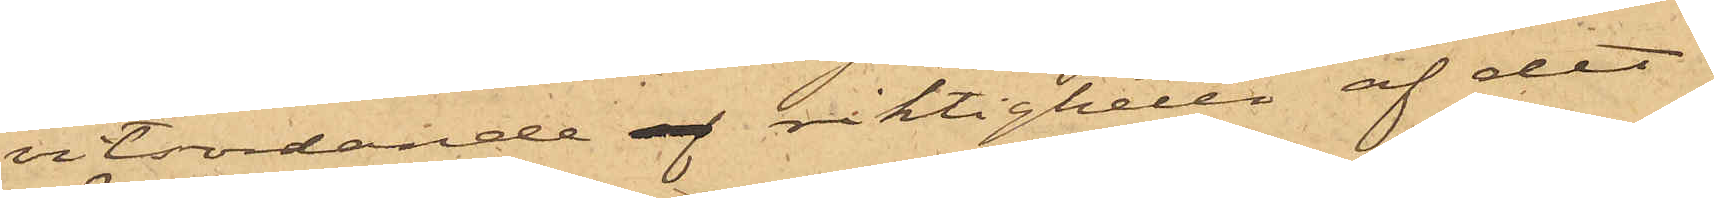vitsordande af riktigheten af det
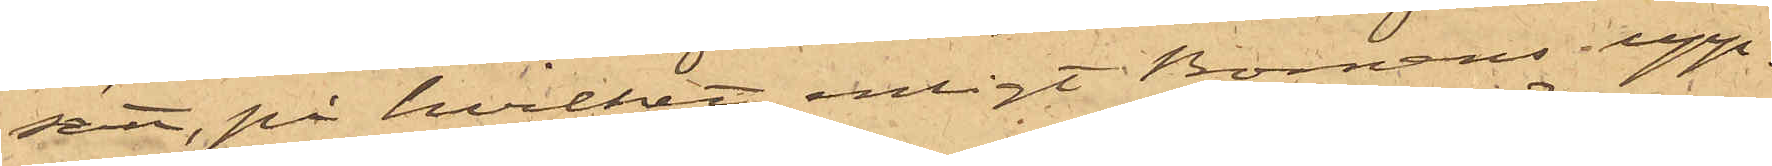sätt, på hvilket, enligt Bomans upp¬
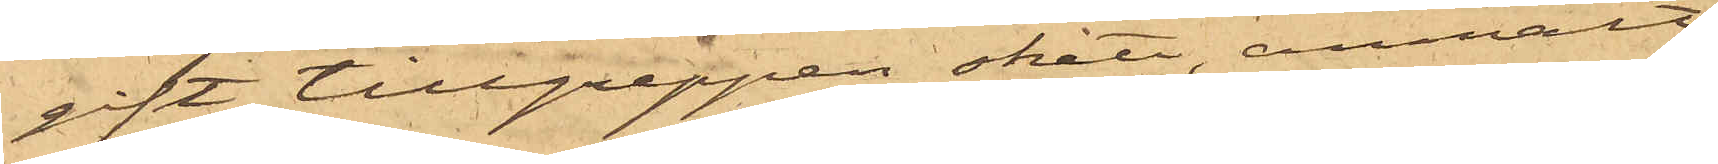gift tillgreppen skett, anmält
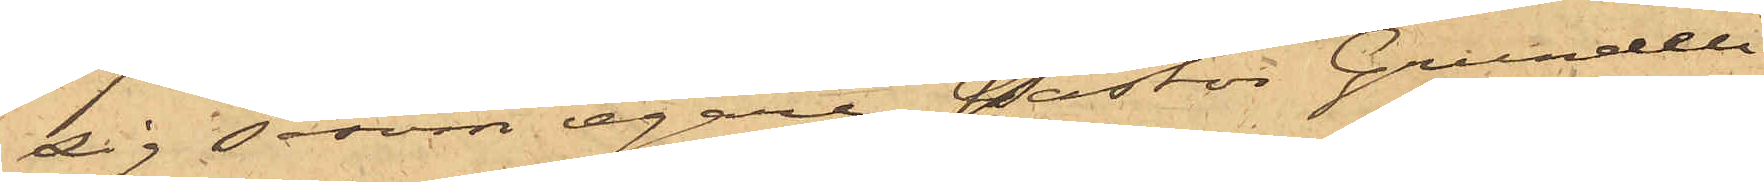sig såsom egare Pastor Grundell
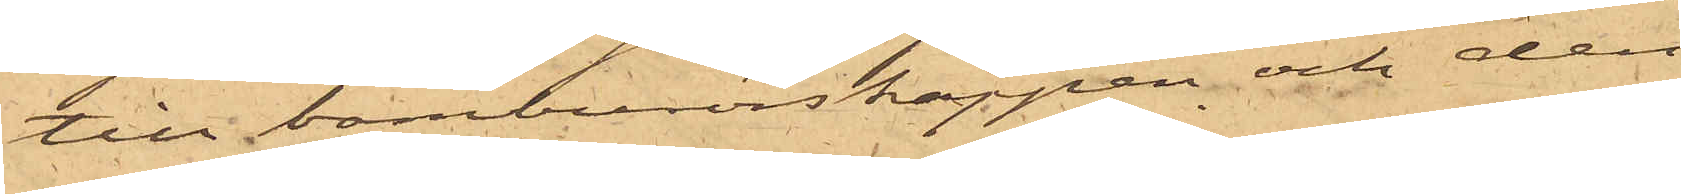till bamburörskäppen och den
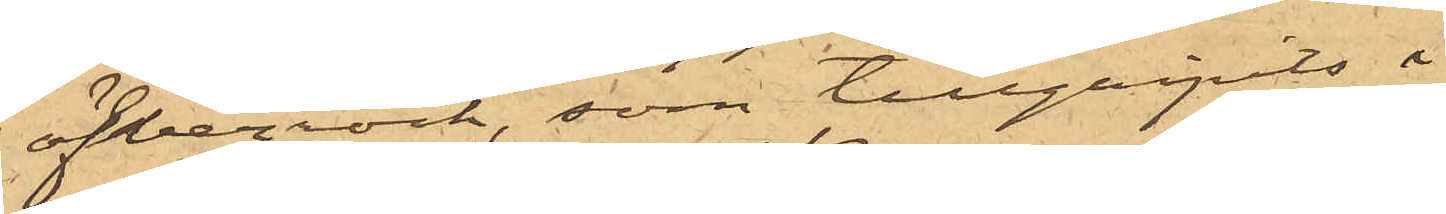öfverrock, som tillgripits i
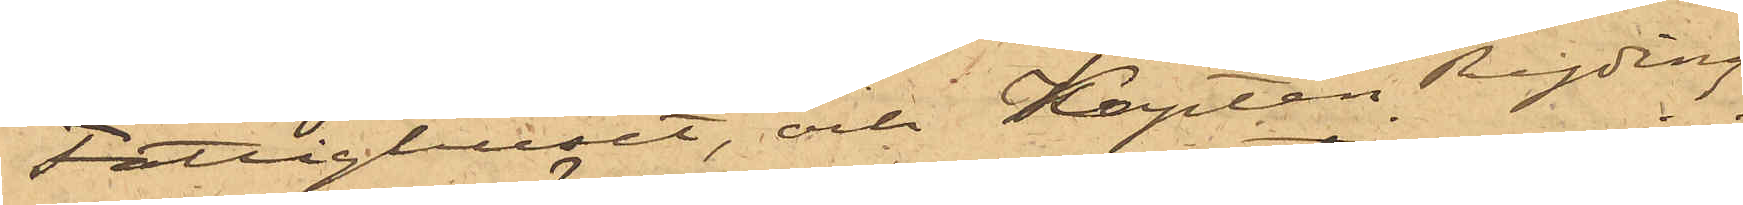Fattighuset, och Kapten Ryding
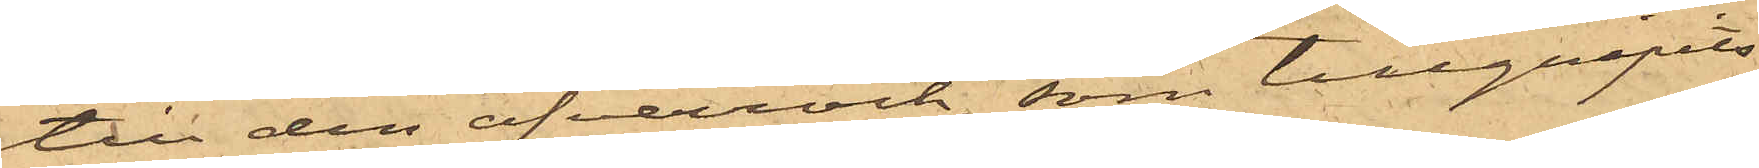till den öfverrock, som tillgripits
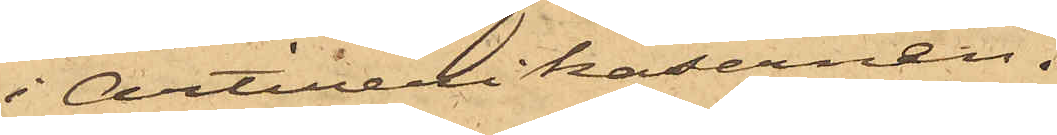i Artillerikasernen.
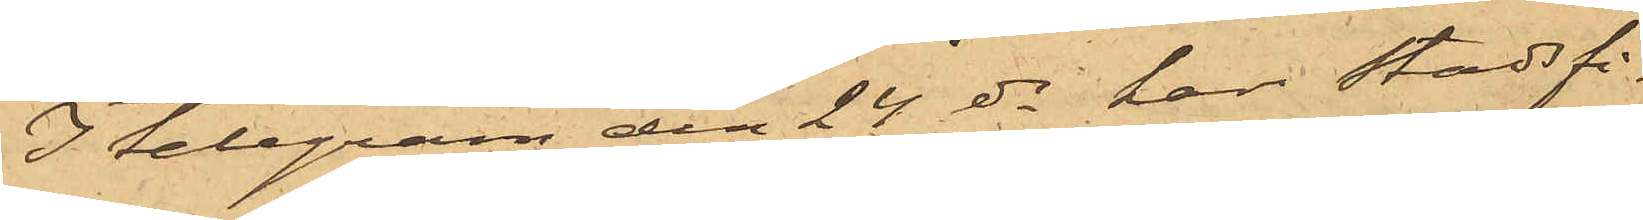I telegram den 24 ds har Stadsfi¬
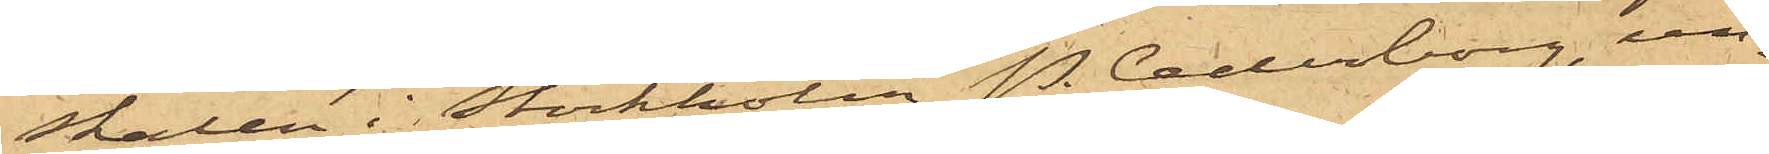skalen i Stockholm P. Cederborg, un¬
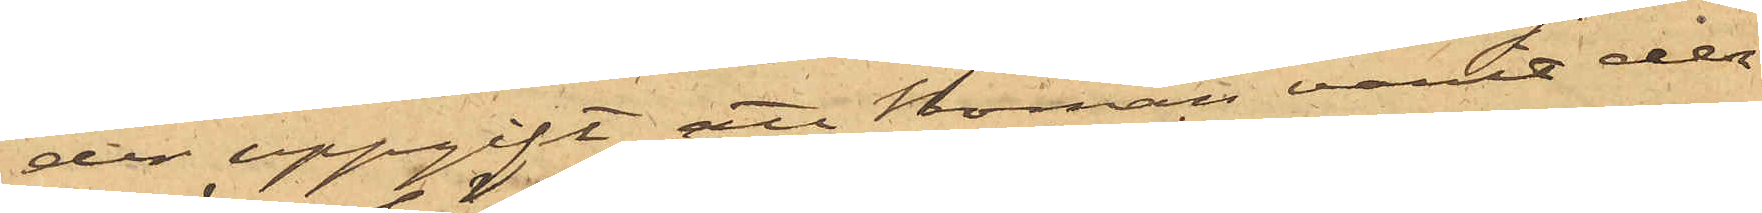der uppgift att Boman varit der¬
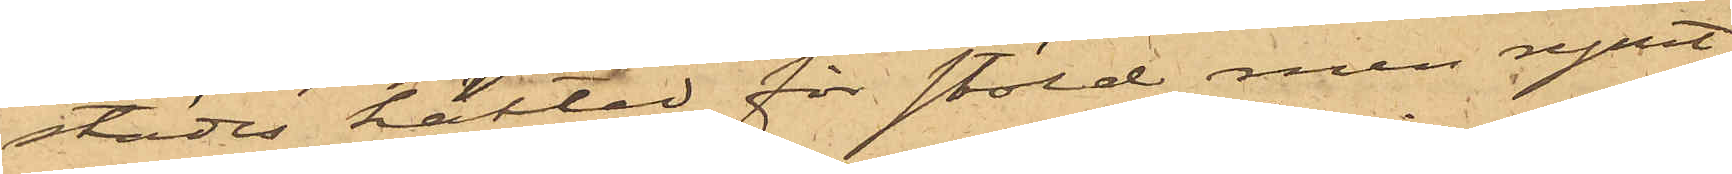städes häktad för stöld men rymt
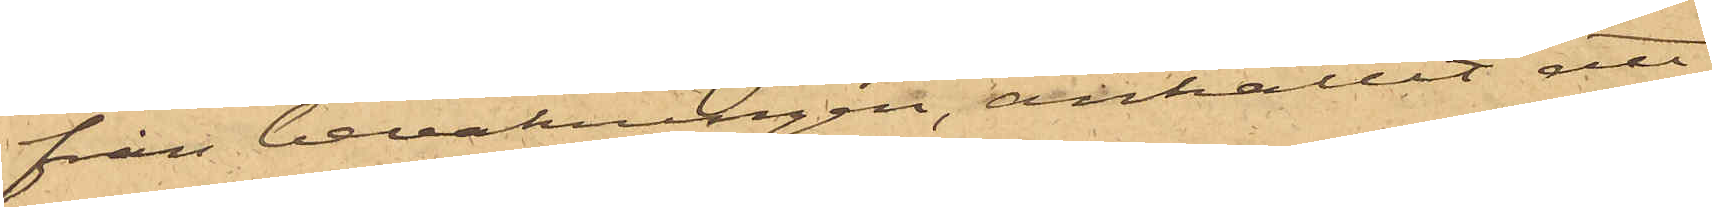från bevakningen, anhållit att
